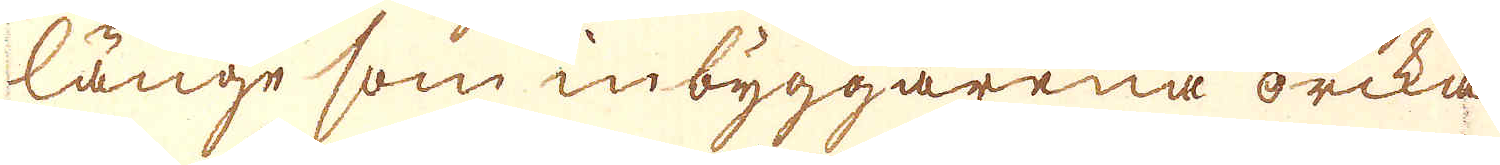länge som inbyggarena orcka
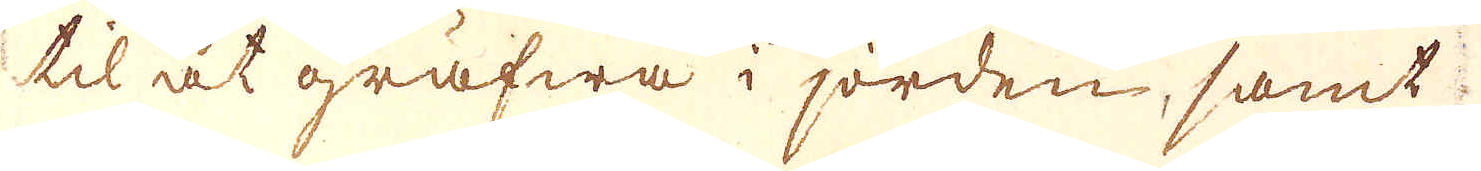til at gräfwa i jorden, samt
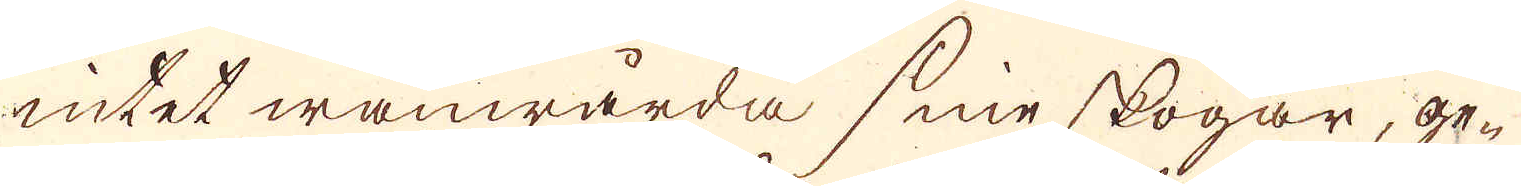intet wanwårda sine skogar; ge-
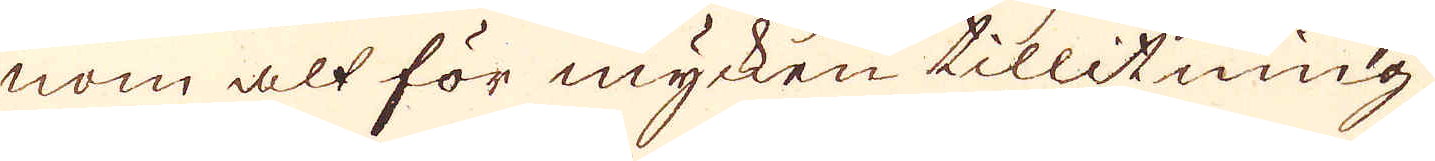nom alt för mycken tillitning
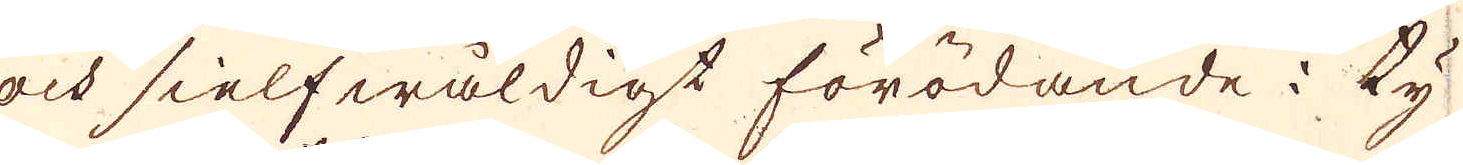och sielfwåldigt förödande: ty
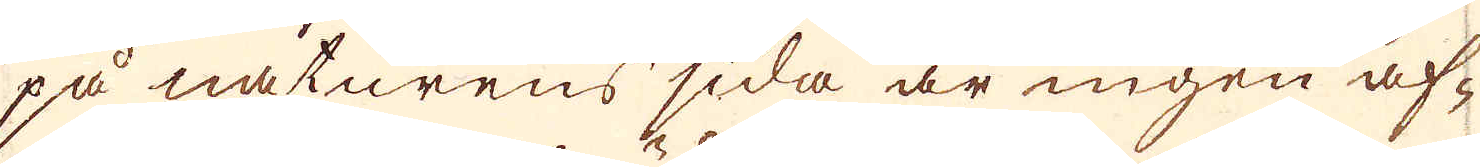på naturens sida är ingen af-
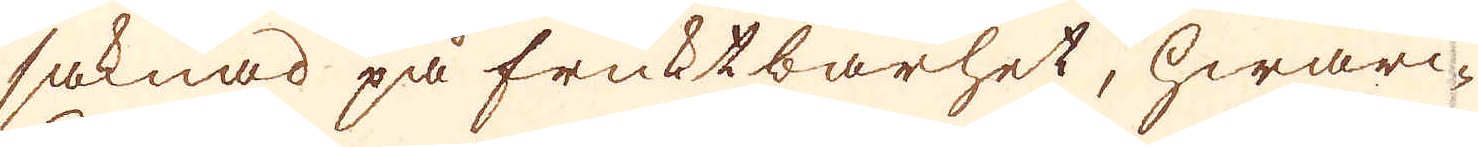saknad på fruktbarhet, hwarc-
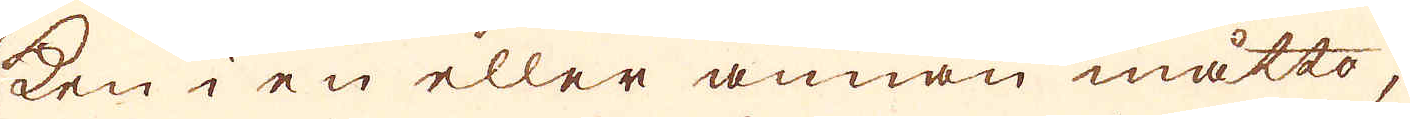ken i en eller annan måtto,
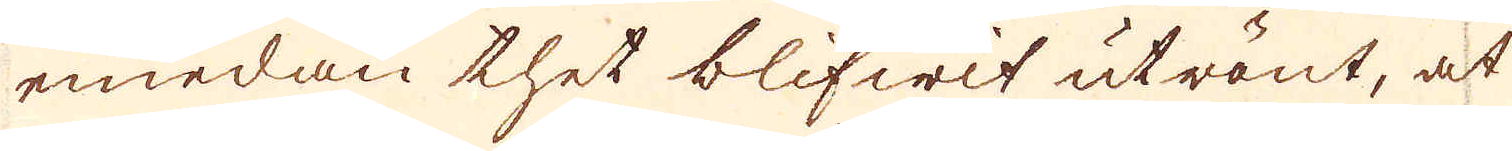emedan thet blifwit utrönt, at
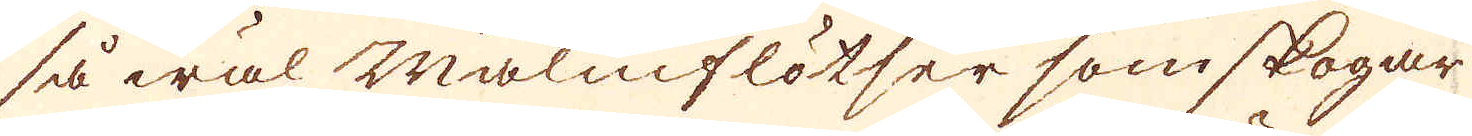så wäl Malmflötser som skogar
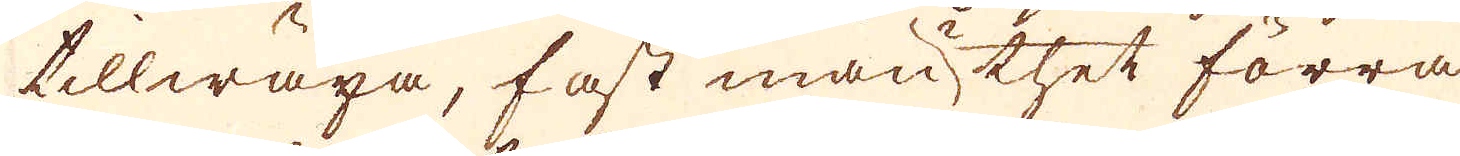tillwäxa, fast man i thet förra
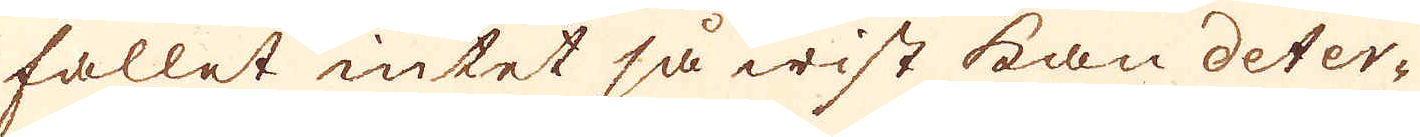fallet intet så wist kan deter-
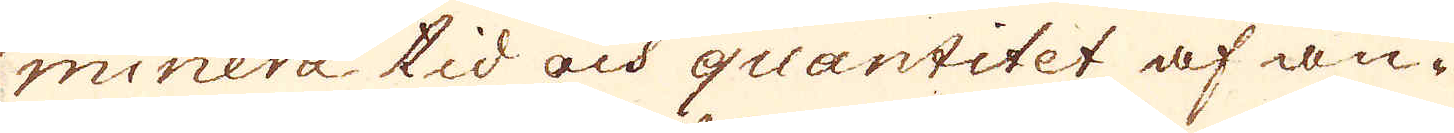minera tid och quantitet af an-
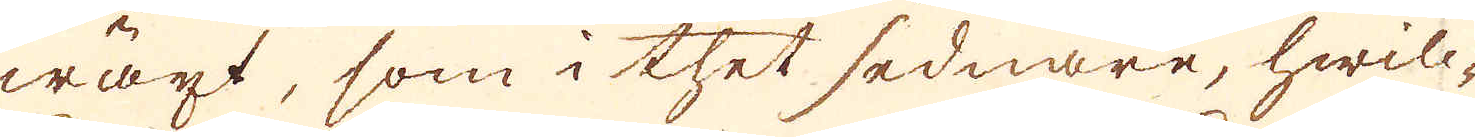wäxt, som i thet sednare, hwilc-
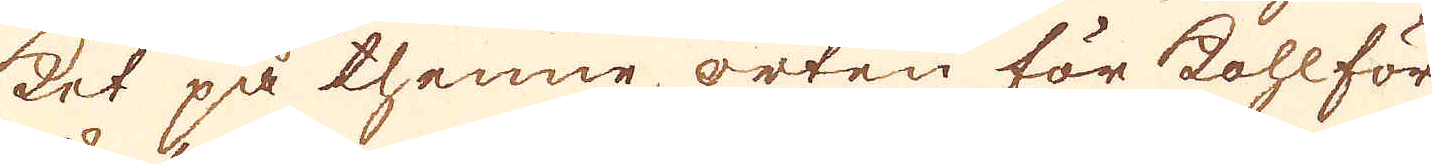ket på thenne orten för Kohl för
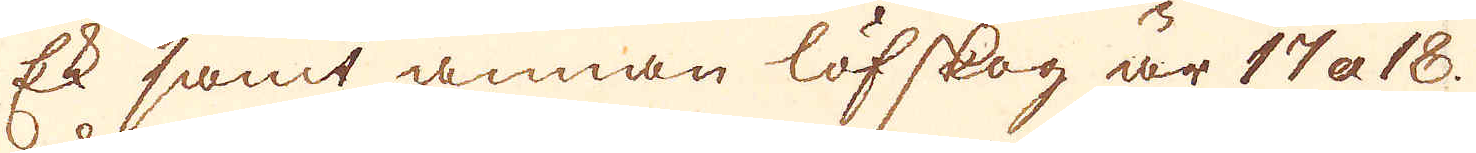Ek samt annan löfskog är 17 a 18.
